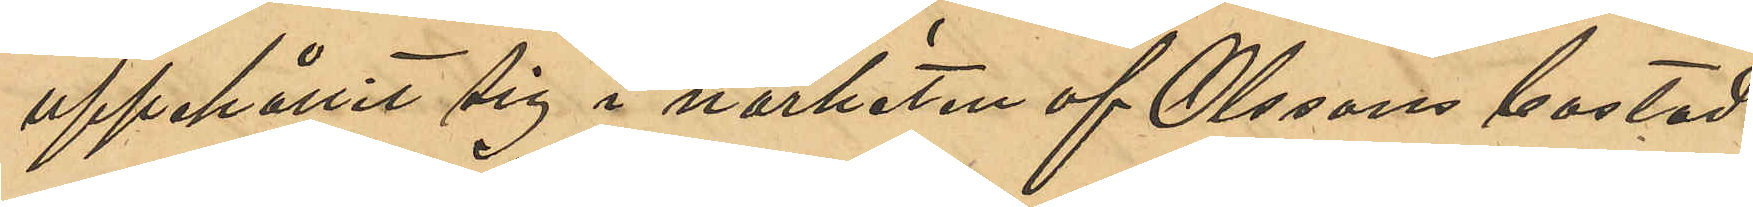uppehållit sig i närheten af Olssons bostad
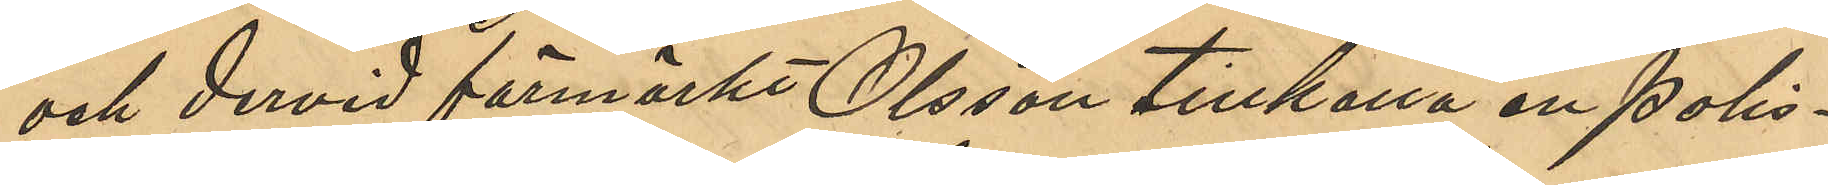och dervid förmärkt Olsson tillkalla en Polis¬
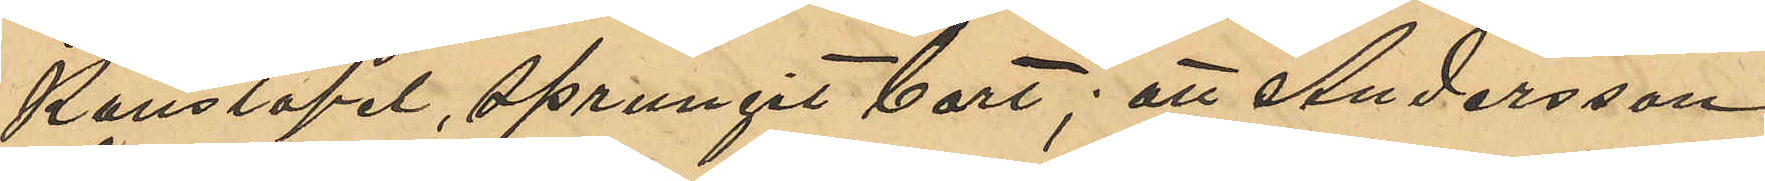Kontapel, sprungit bort; att Andersson
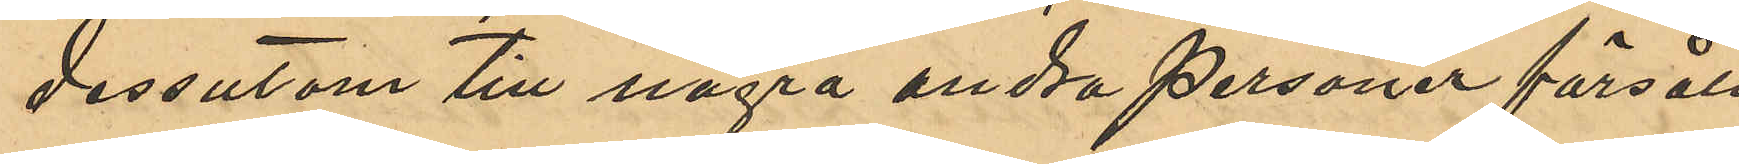dessutom till några andra personer försålt
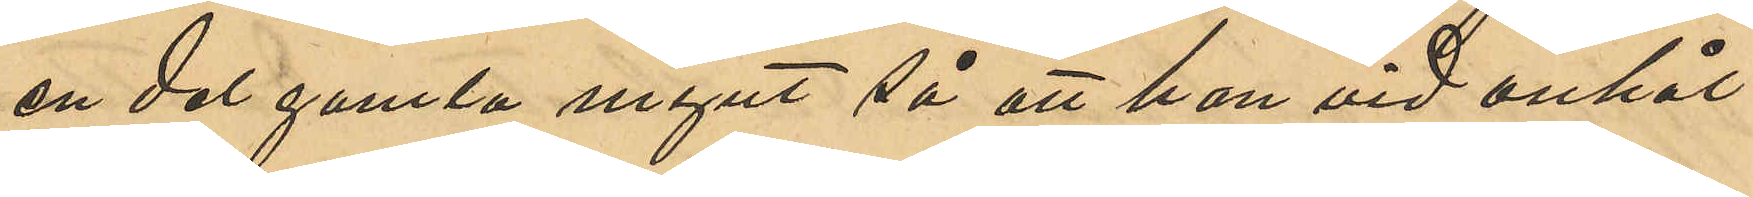en del gamla mynt så att han vid anhål¬
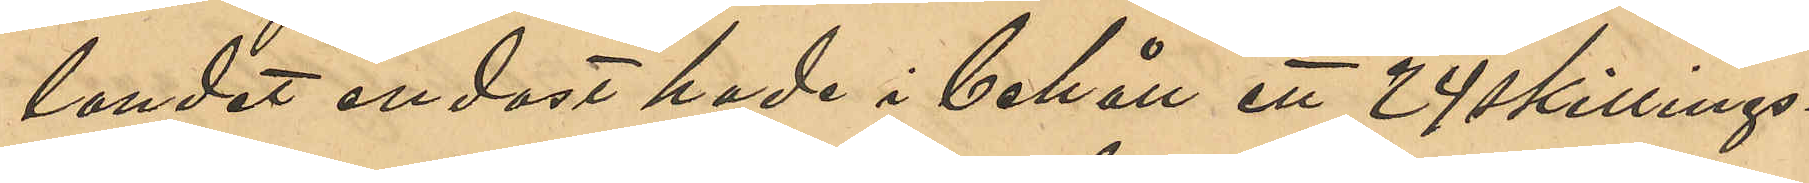landet endast hade i behåll ett 24 skillings¬
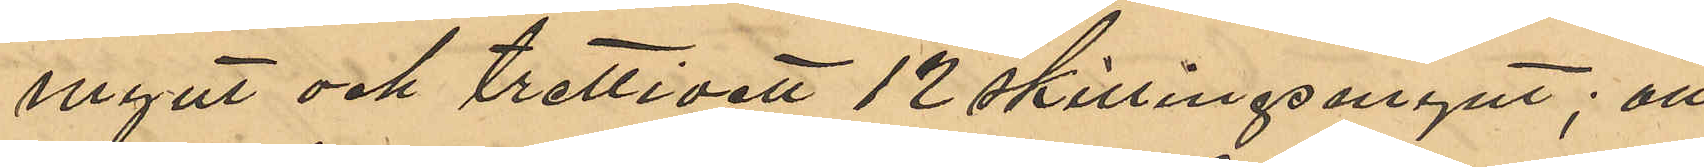mynt och trettioett 12 skillingsmynt; att
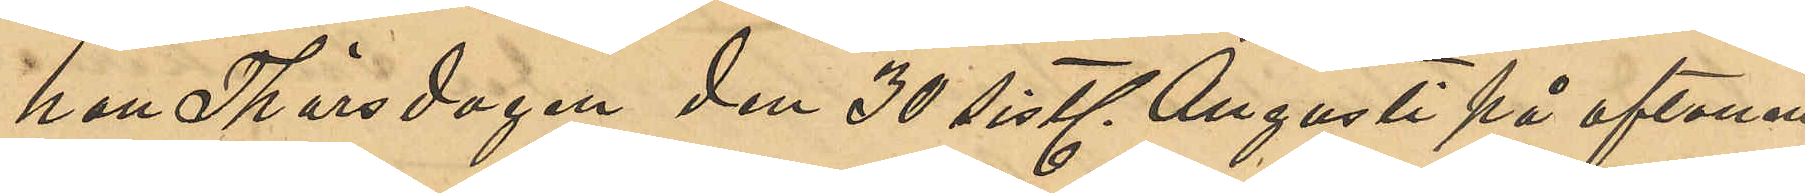han Thorsdagen den 30 sistl. Augusti på aftonen
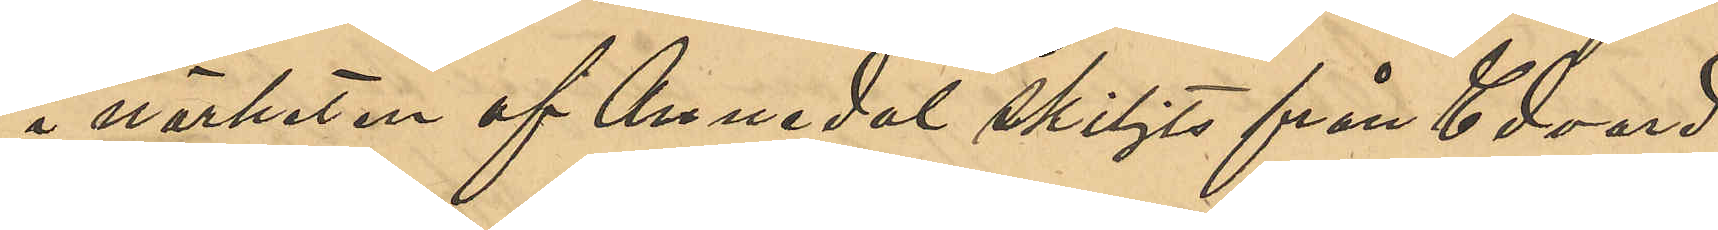i närheten af Annedal skiljts från Edvard
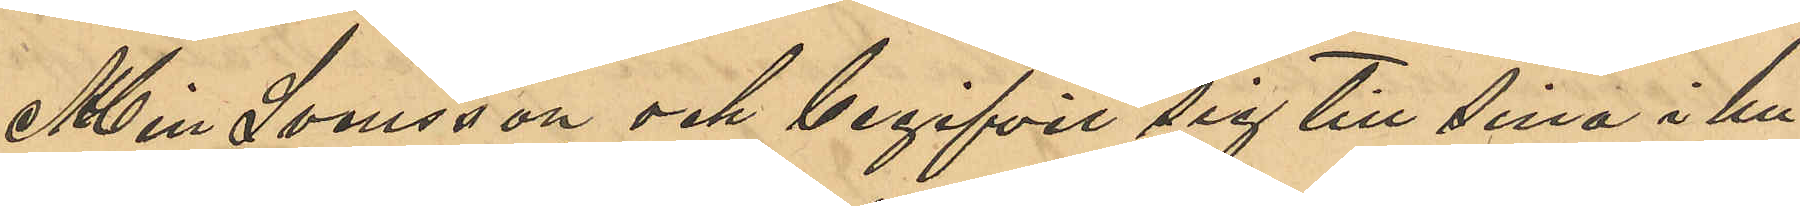Albin Svensson och begifvit sig till sina i hu¬
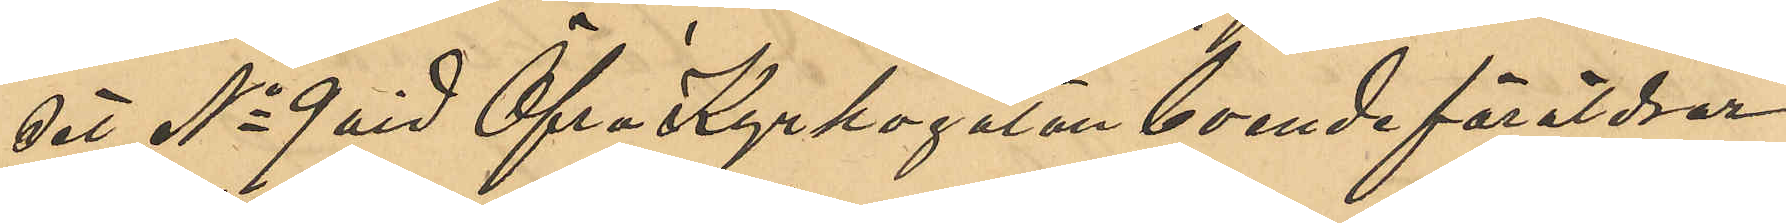set No 9 vid Öfra Kyrkogatan boende föräldrar;
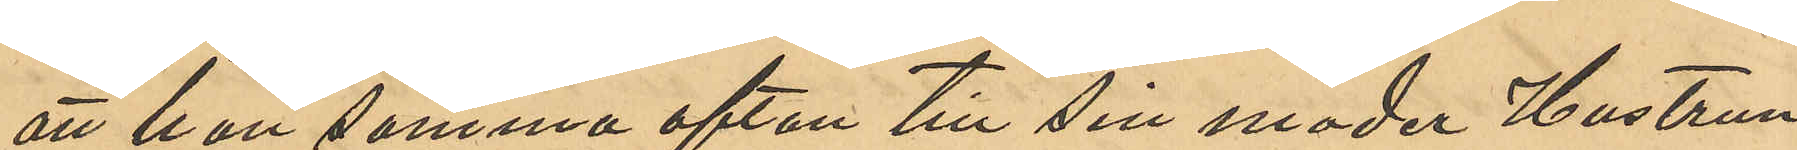att han samma afton till sin moder Hustrun
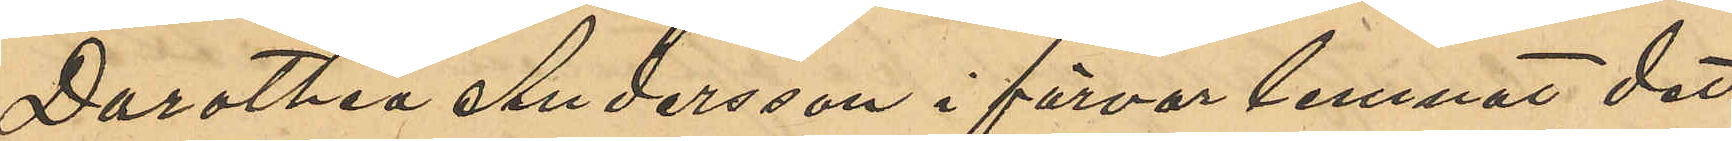Dorothea Andersson i förvar lemnat det
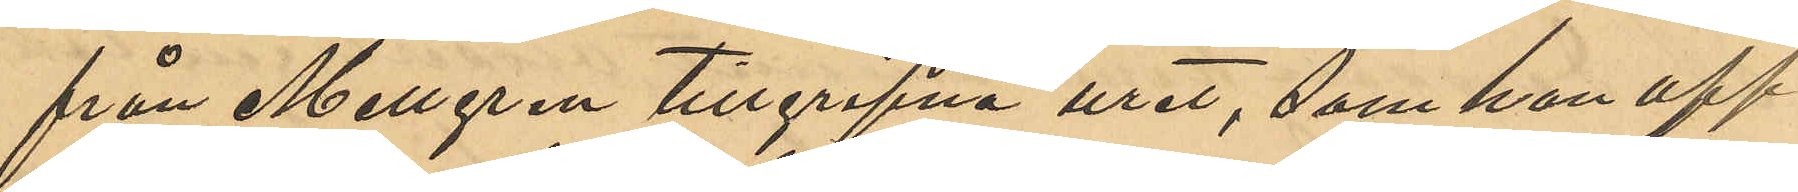från Mellgren tillgripna uret, som han upp¬
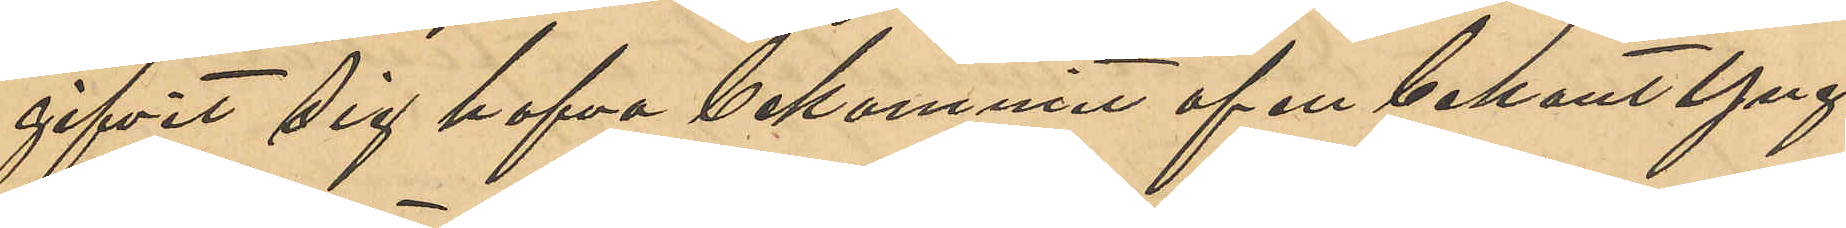gifvit sig hafva bekommit af en bekant Yng¬
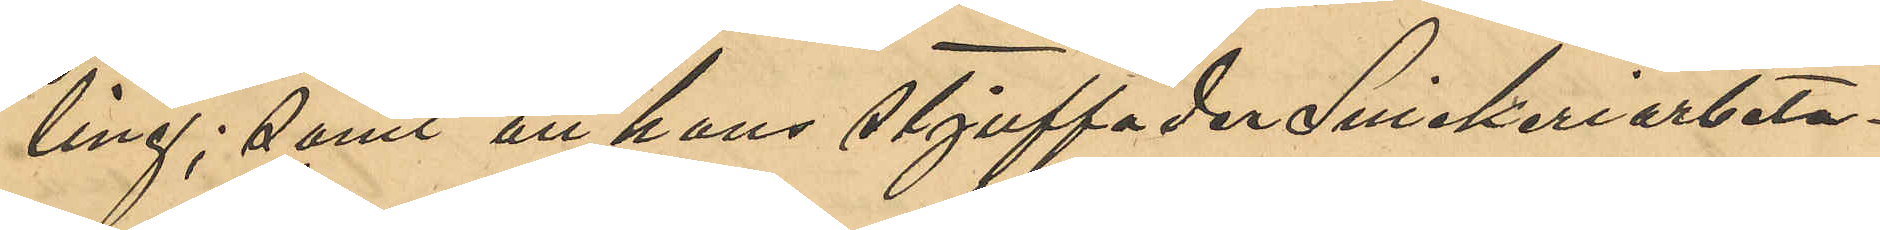ling; samt att hans stjuffader Snickeriarbeta¬
